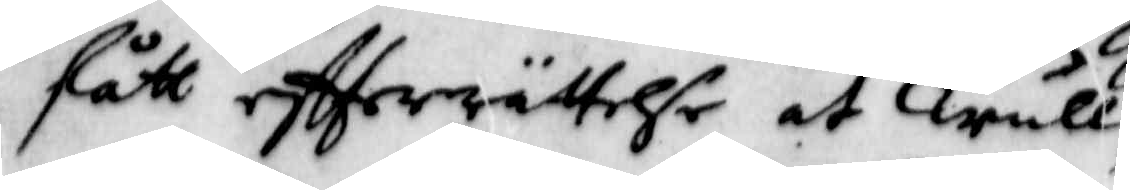fått eftterrättelse at Trull¬
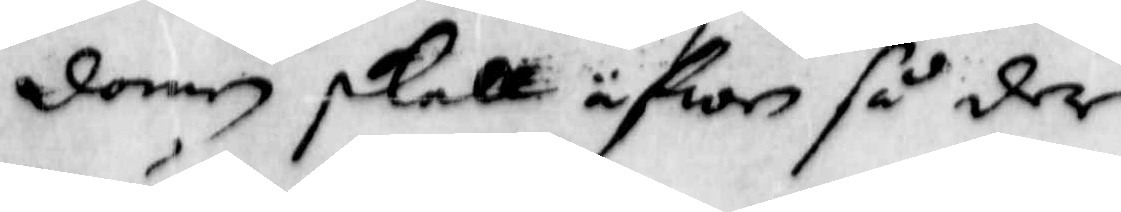domen skall afwen så der
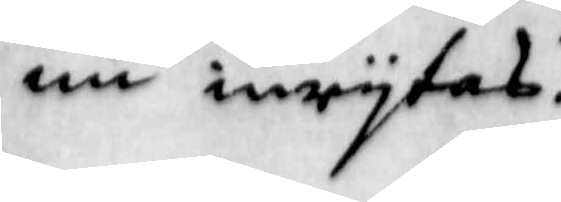nu inrysas.
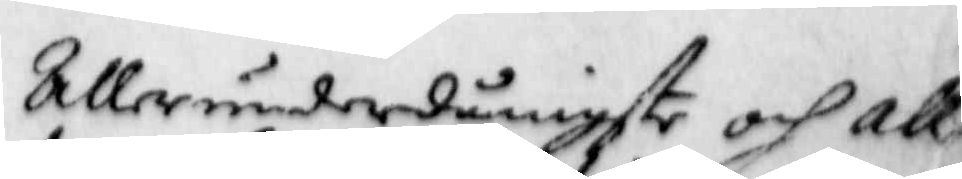Allerunderdånigste och Aller
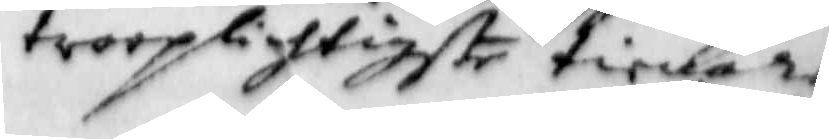trooplichtigste tienare
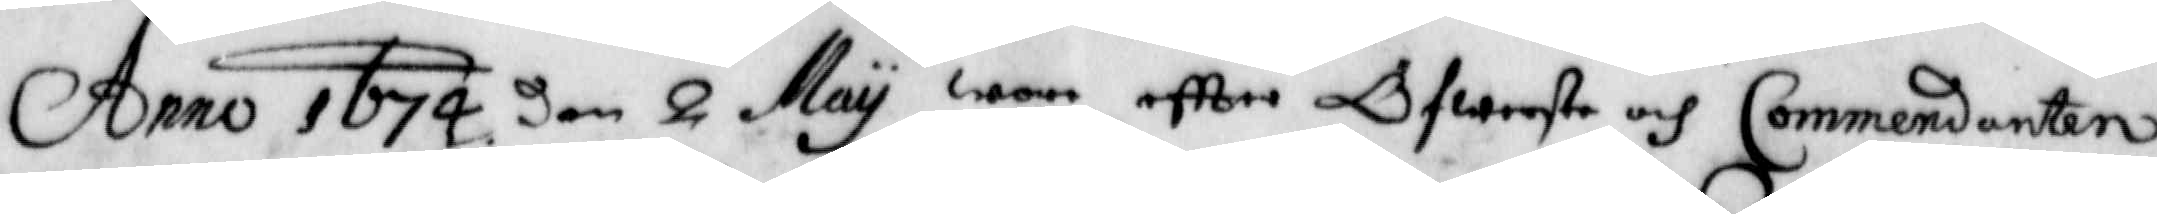Anno 1674 den 2 May wore eftter Öfwersten och Commendanten
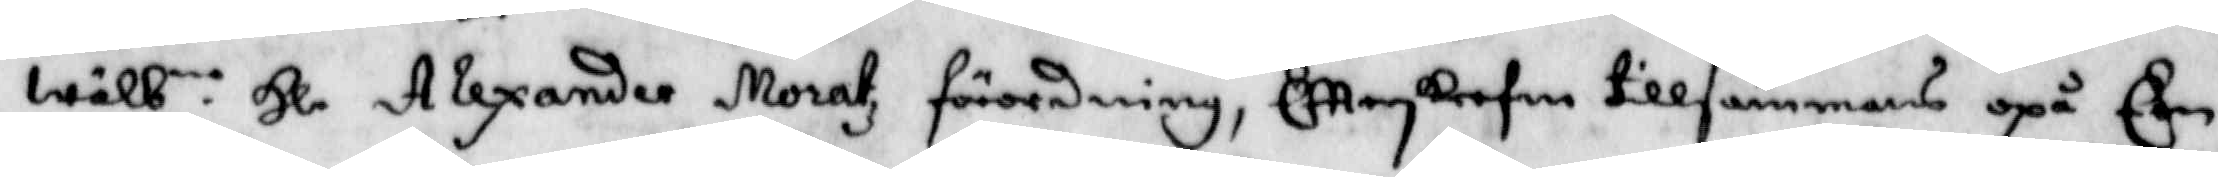wälb.ne Hl. Alexander Moratz förordning, Eftterskrefen tillsammans opå Een
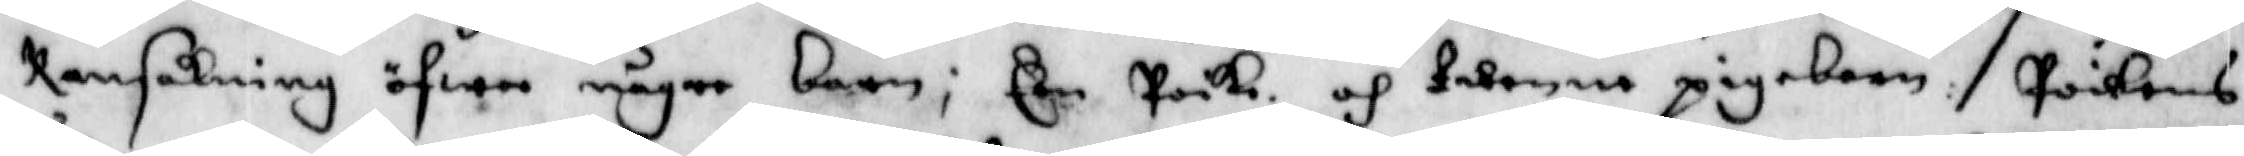Ransakning öfwer någre barn; Een Poike och twenne pigebarn: Poikens
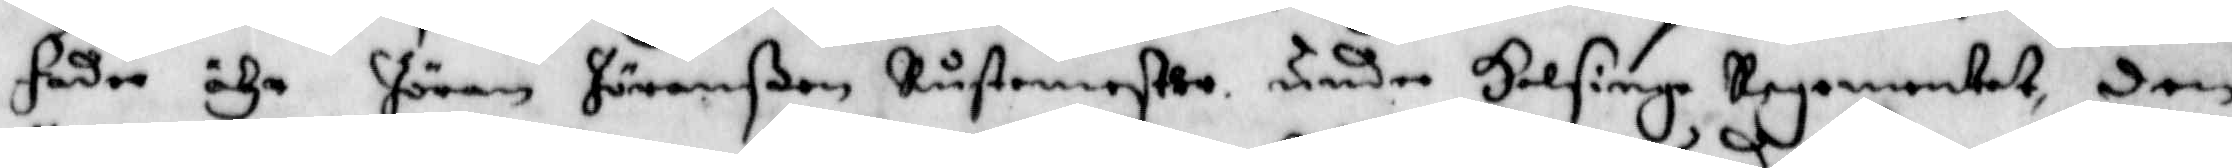fader ähr Jöran Jöranßon Rustmester under Helsinge regementet, den
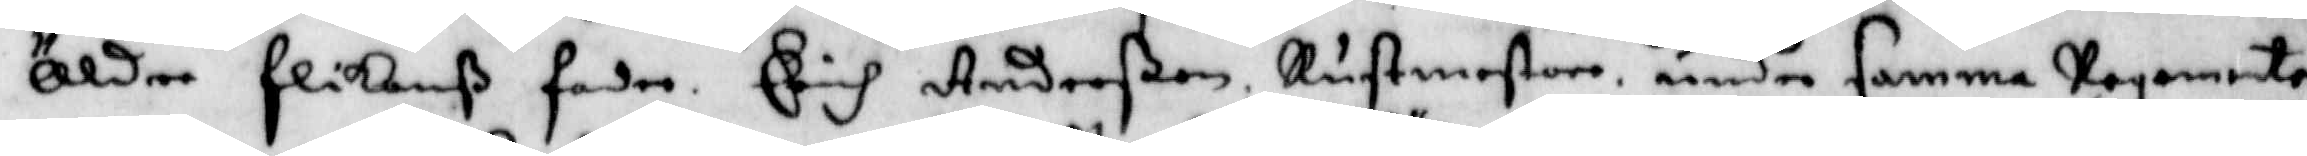Äldre flickans fader erih Anderßon Rustmestare under samma Regemente
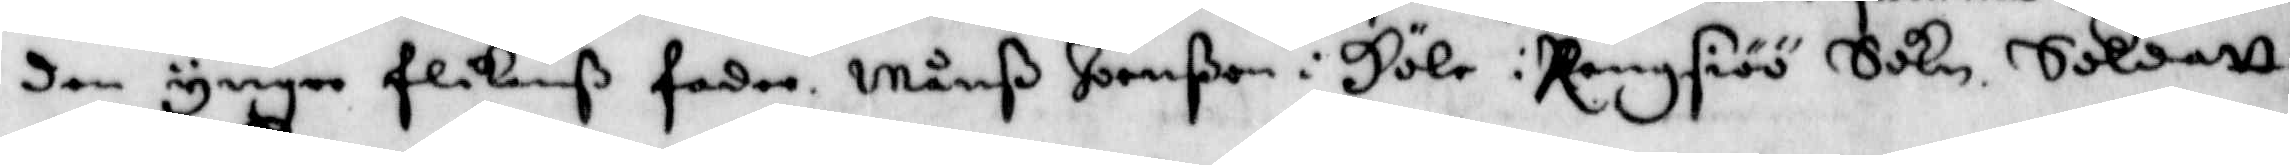den yngre flikanß fader Månß Jonßon i Höle: Rangsiöö Sokn. Soldatt
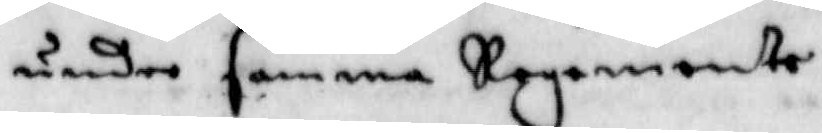under samma Regemente.
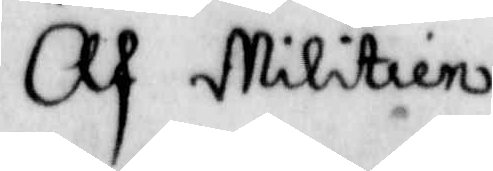Af Militien
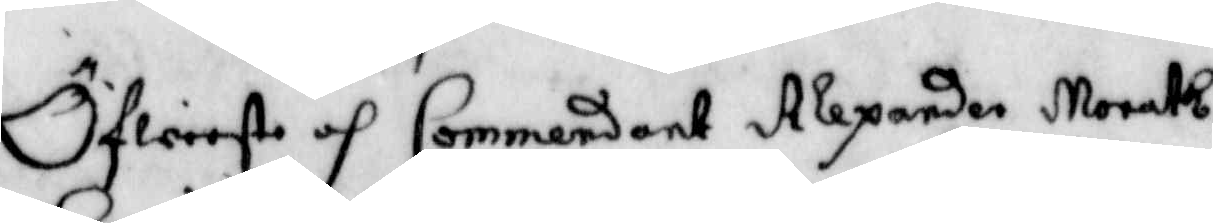Öfwerste och Commendant Alexander Morath.
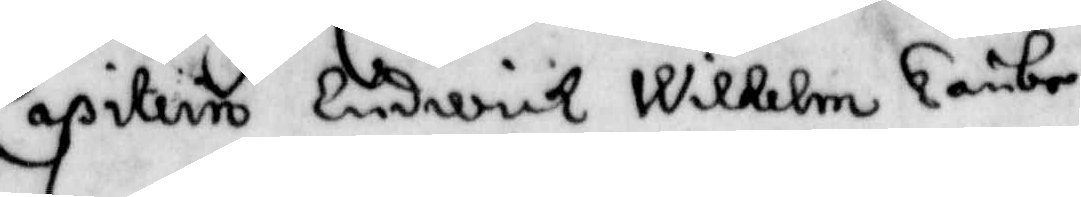Capitein Ludwick Wilhelm Länbe.
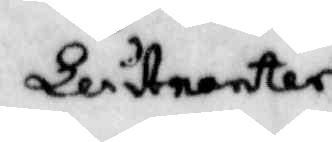Leutnanter
